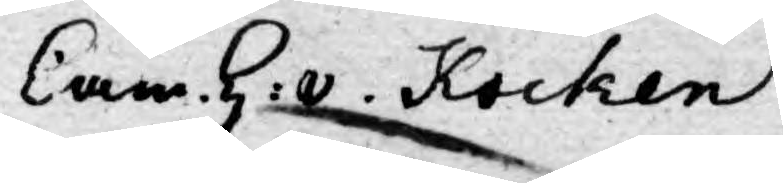Cam. H: v. Kocken
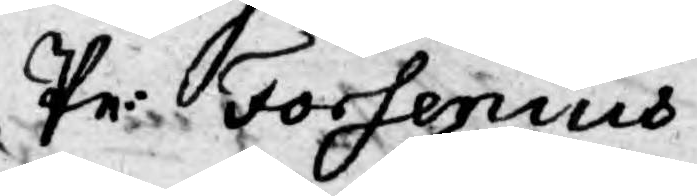Pr: Forsenius
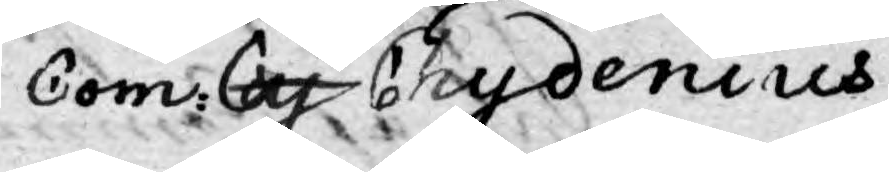Com: Cy Chydenius
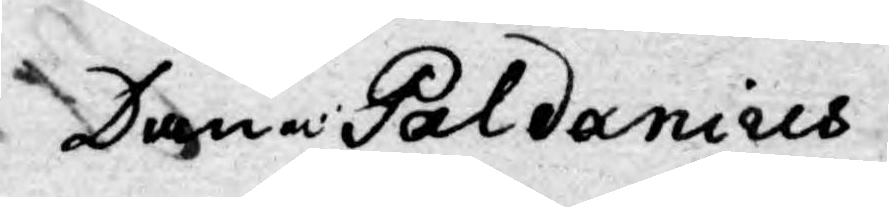Danm: Paldanius.
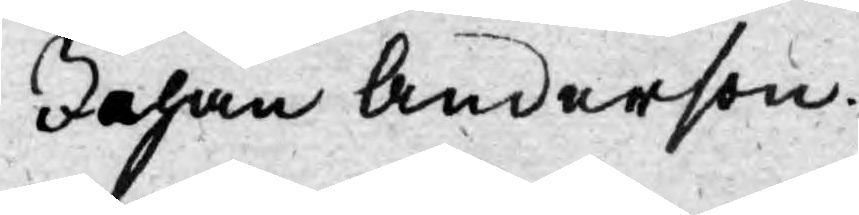Johan Anderson.
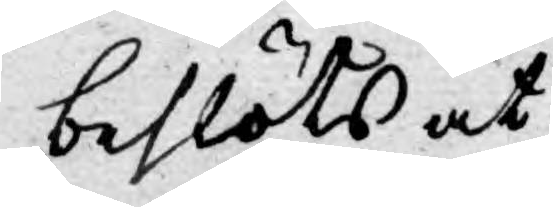beslöts at
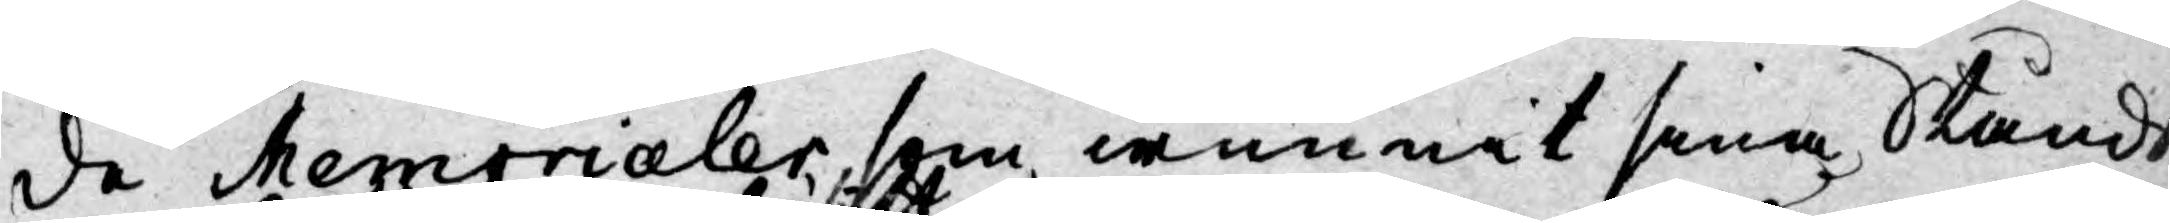de Memorialer, som wunnit sina Stånds
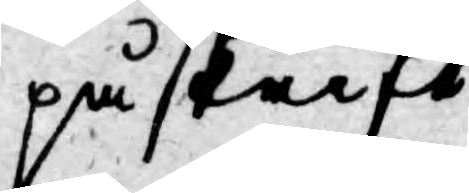på skrift
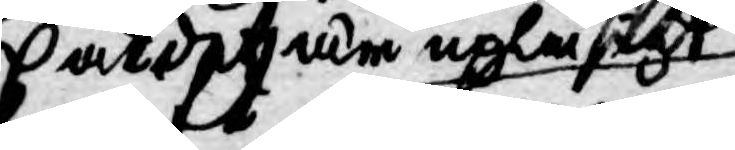at det är upläsigt
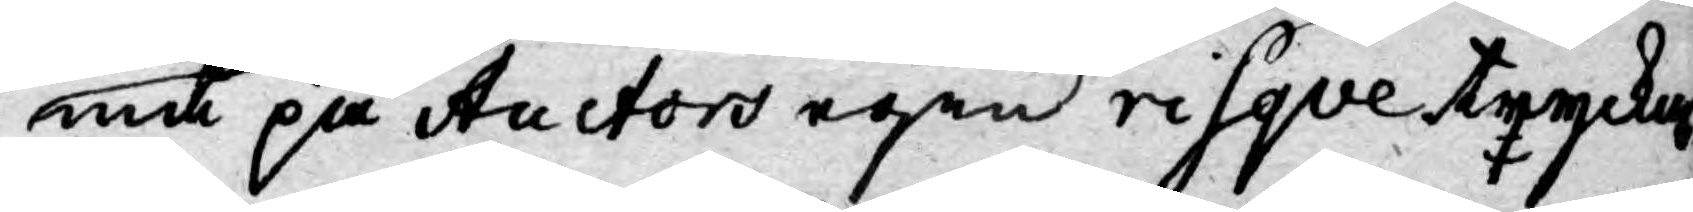och på Auctors egen risqve trycka
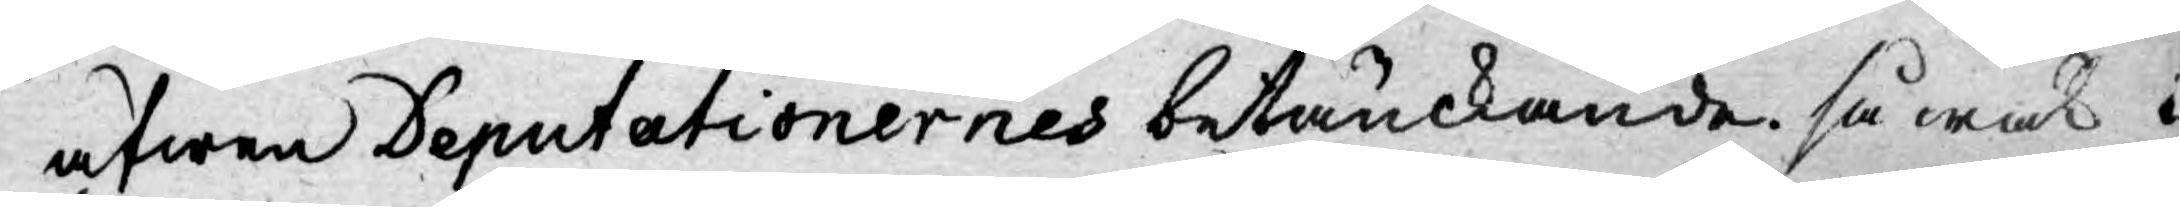äfwen Deputationernes betänkande. så wäl i
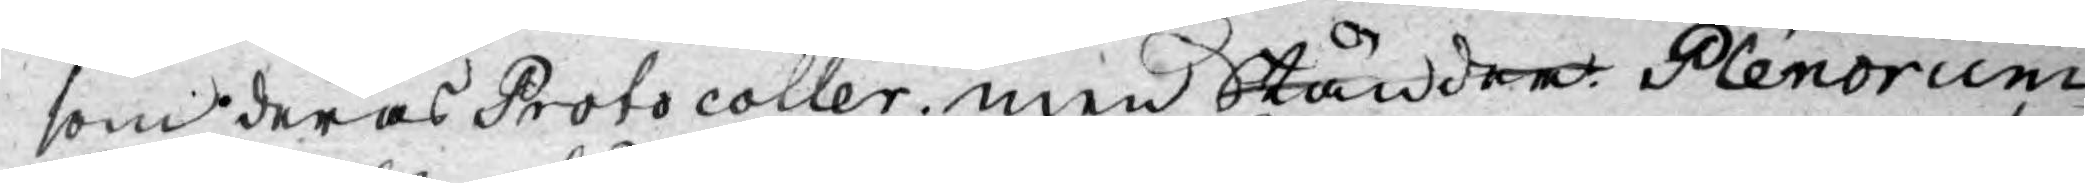som deras Protocoller. men Ständern Plenorum
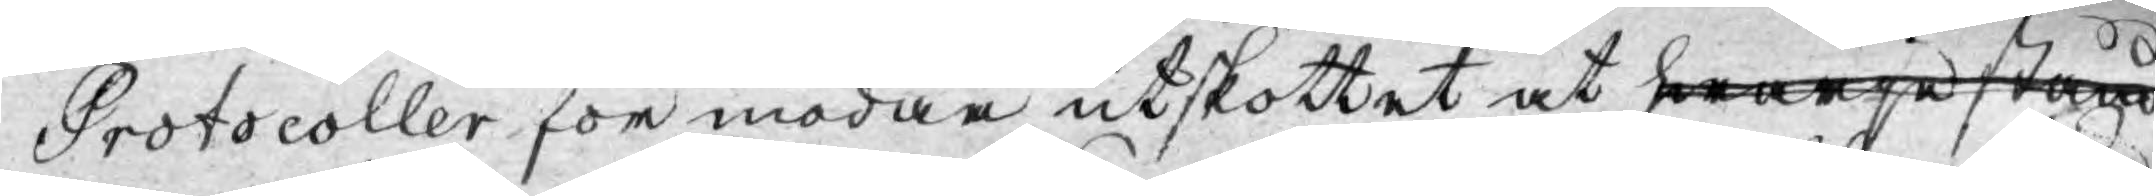Protocoller för modan utskottet at hwarje stånd
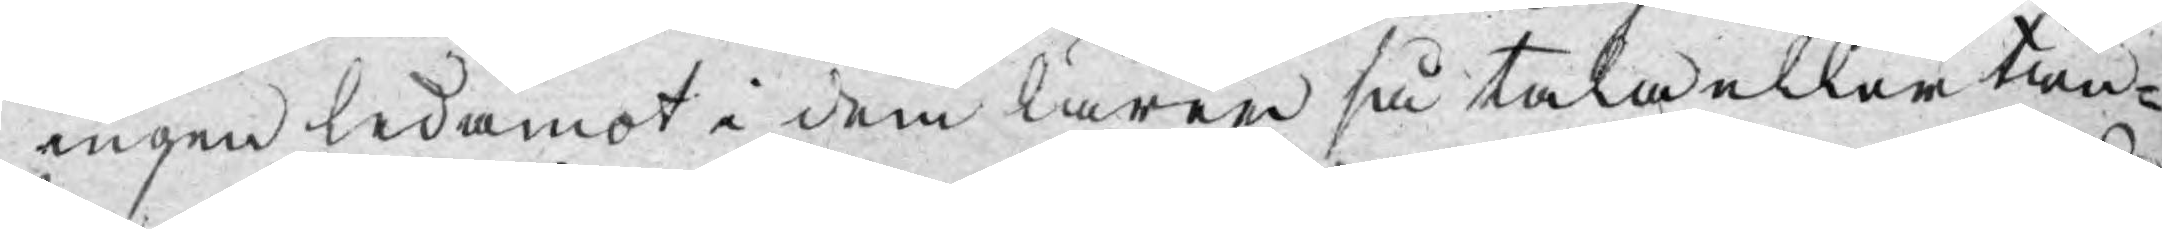ingen ledamot i dem lärer så tala eller tän-
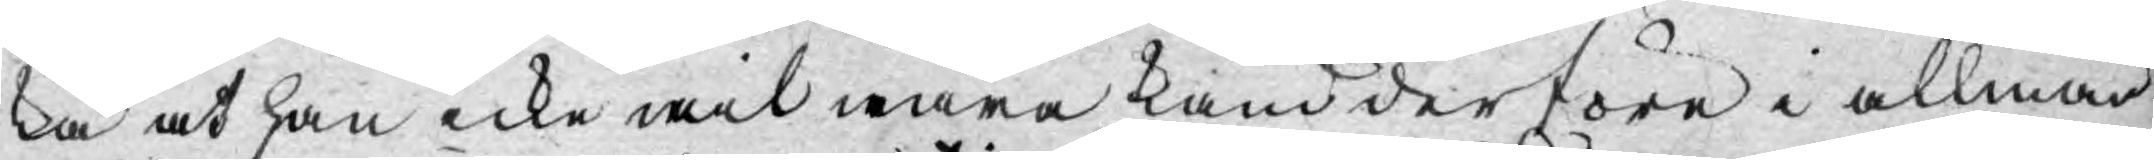ka at han icke wil wara känd derföre i allmän¬
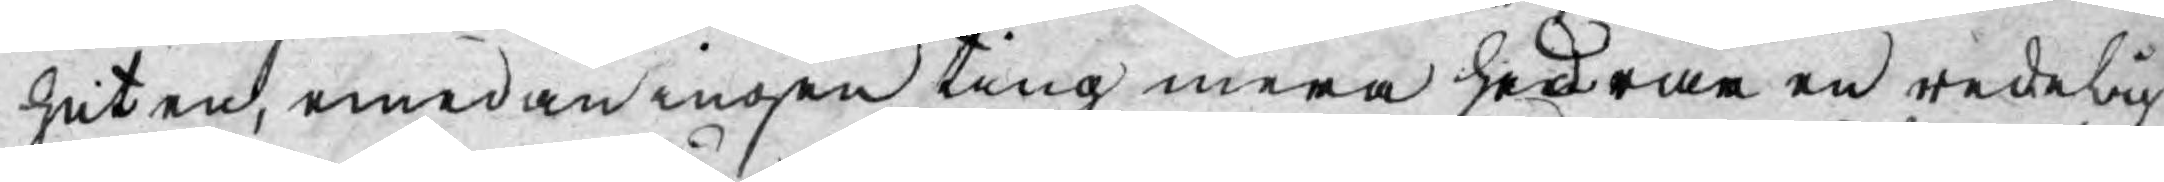heten, emedan ingen ting mera hedrar en redelig
